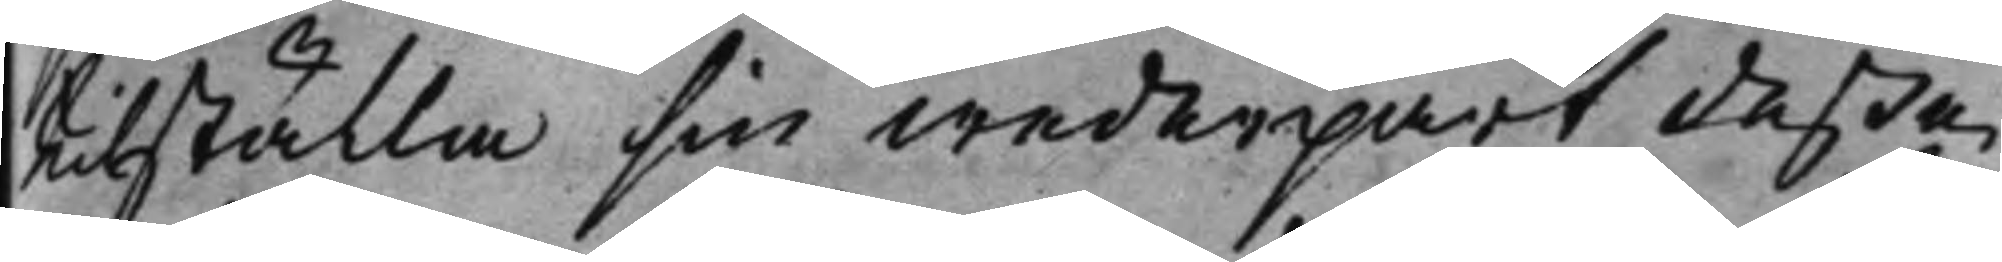hitställa sin wederpart deße
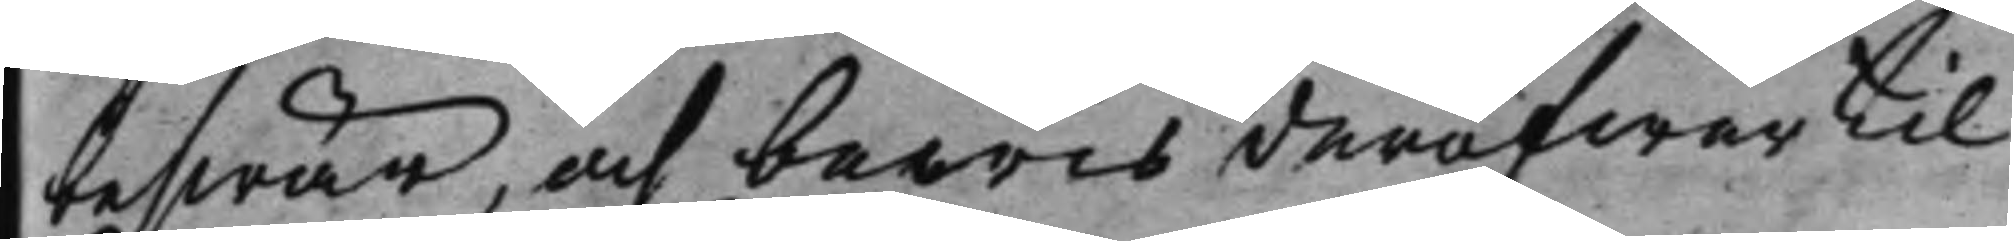beswär, och bewis deröfwer til
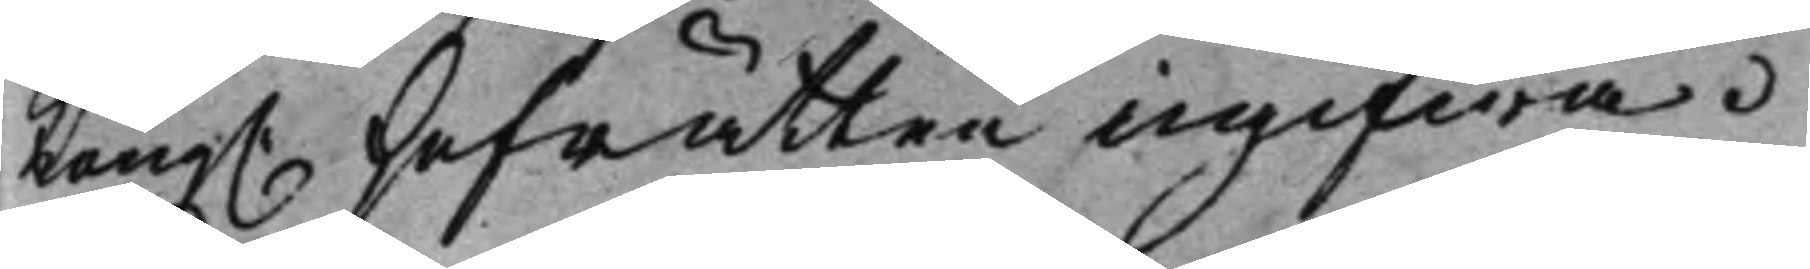Kong. Hofrätten ingifwa.
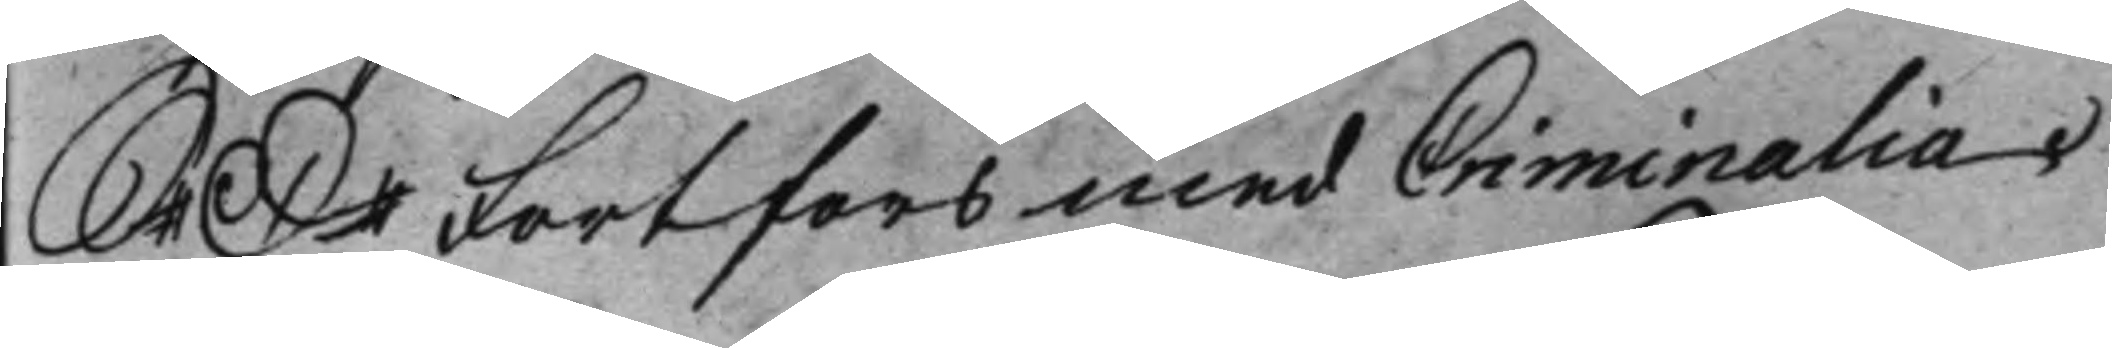S: D: Fortfors med Criminalia.
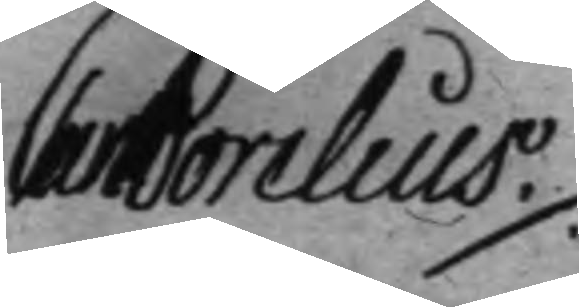Carl Borelius ./.
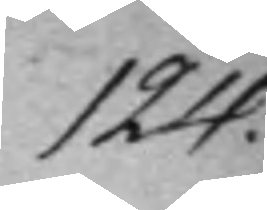124.
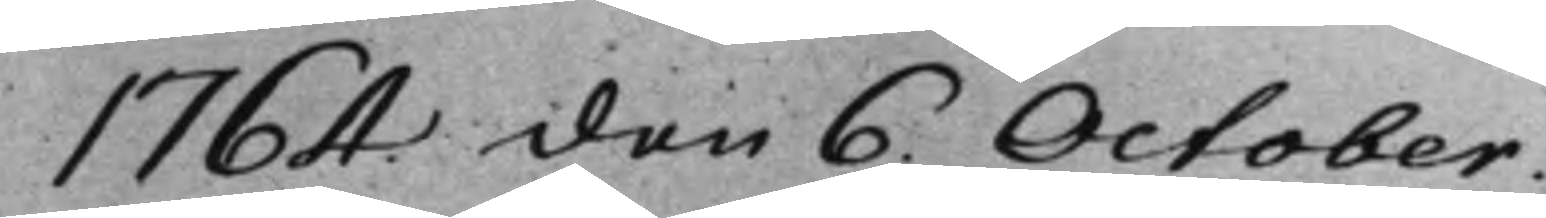1764 den 6. October.
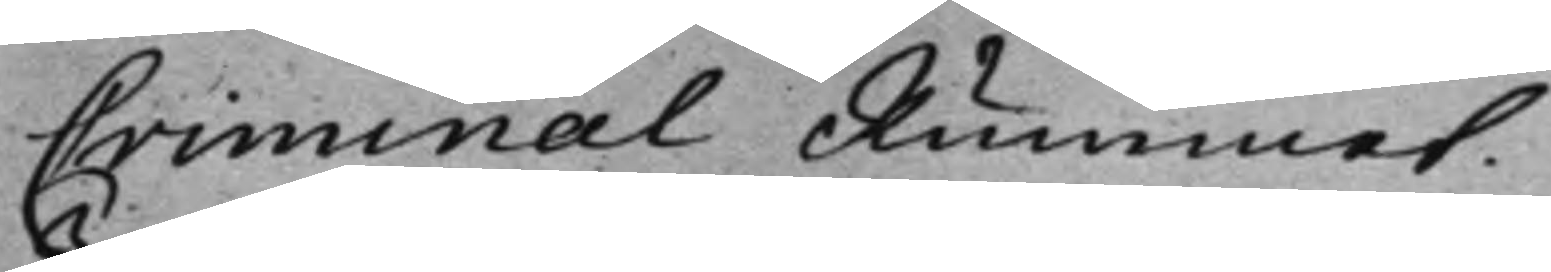Criminal Rummet.
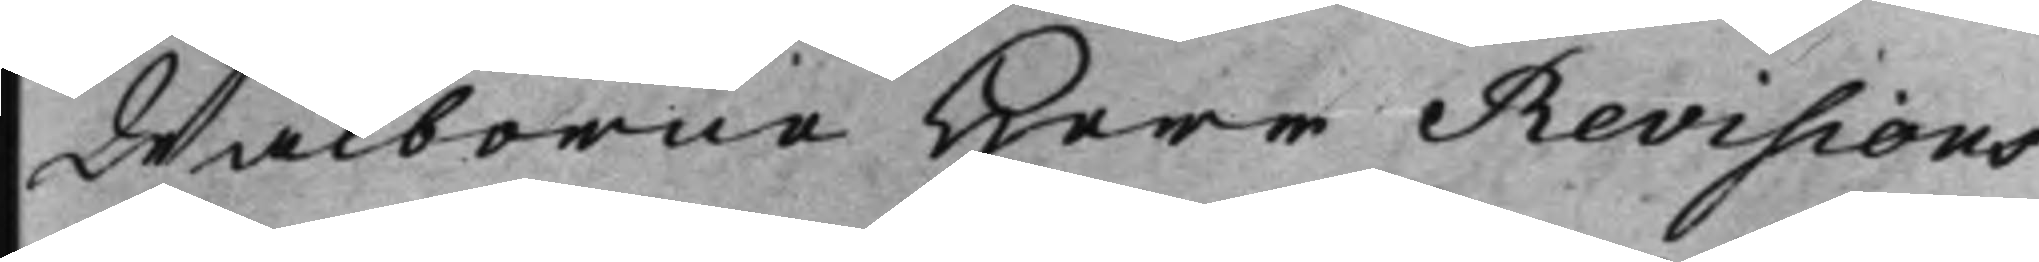Wälborne Herr Revisions
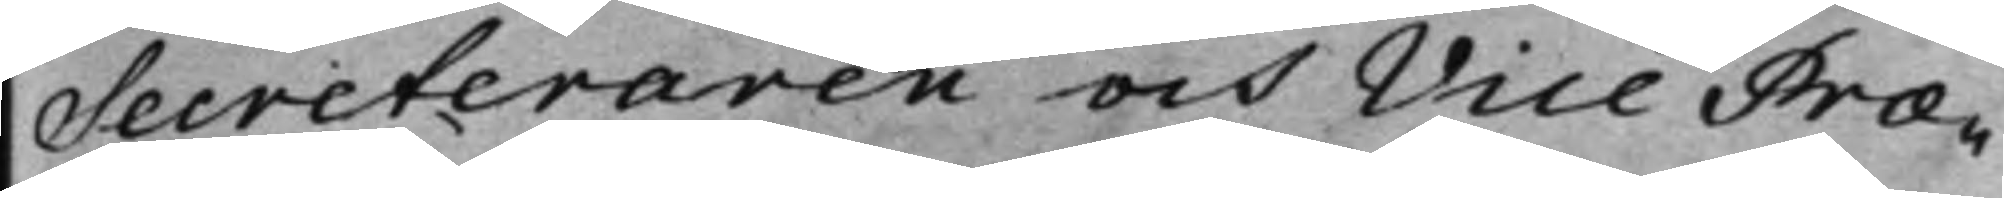Secreteraren och Vice Præ¬
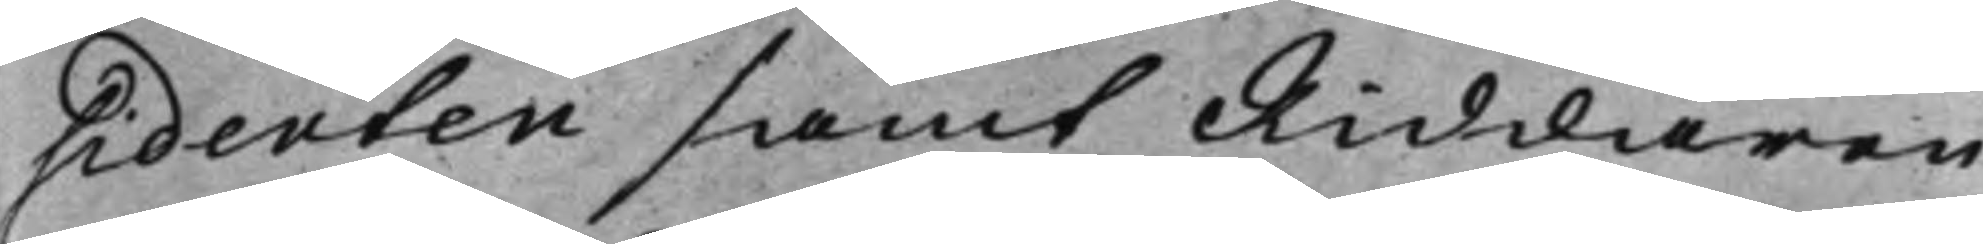sidenten samt Riddaren
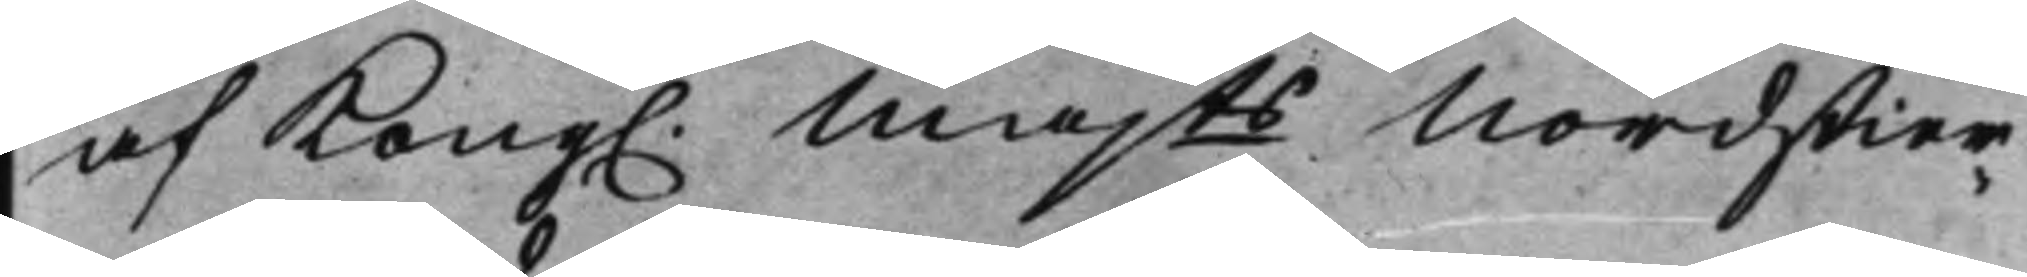af Kong. Majts Nordstier¬
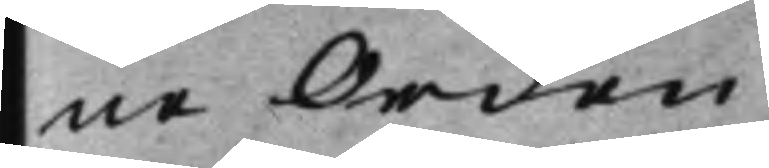ne Orden
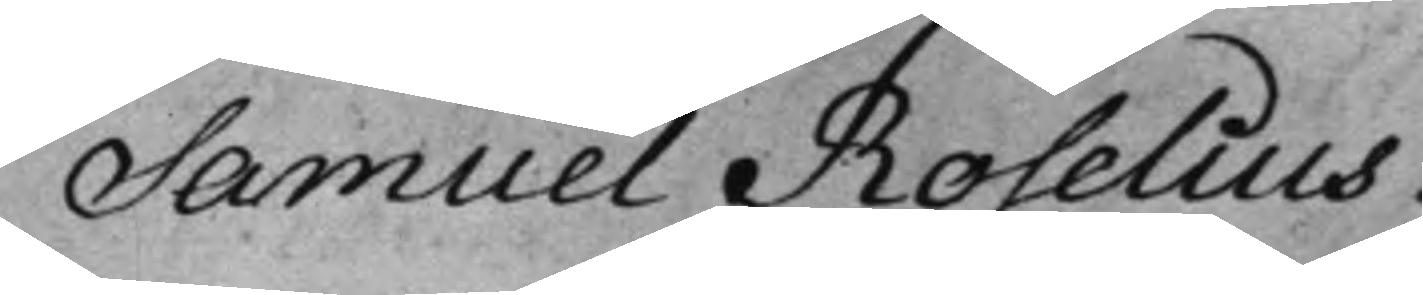Samuel Roselius.
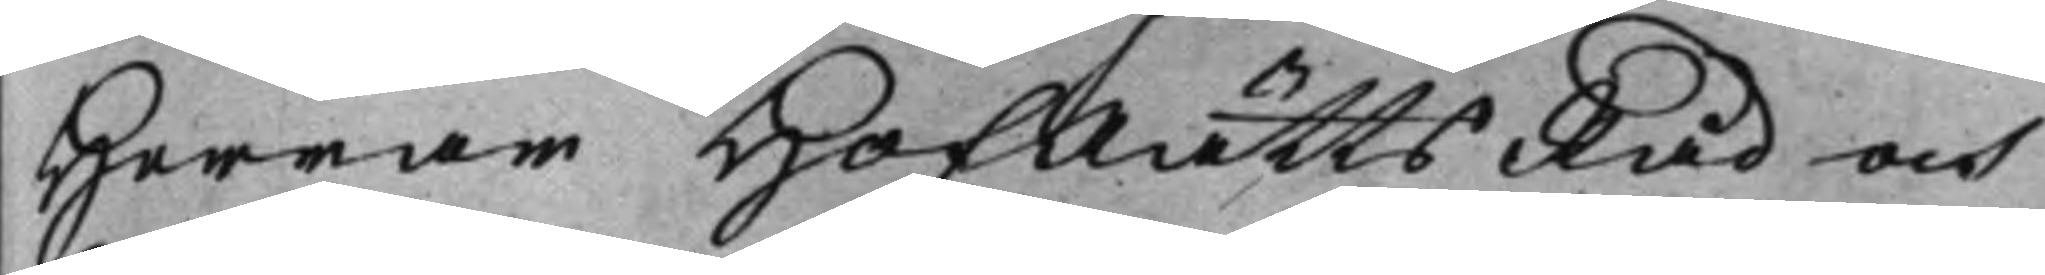Herrar HofRättsRåd och
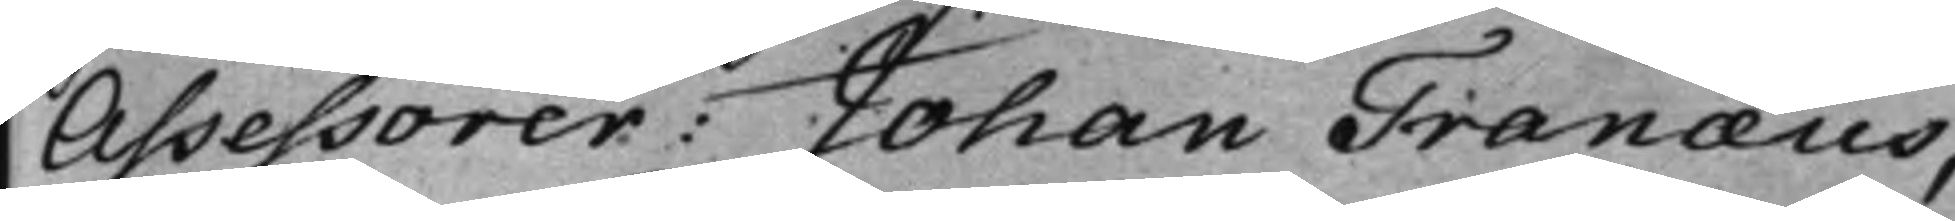Assessorer: Johan Tranæus,
